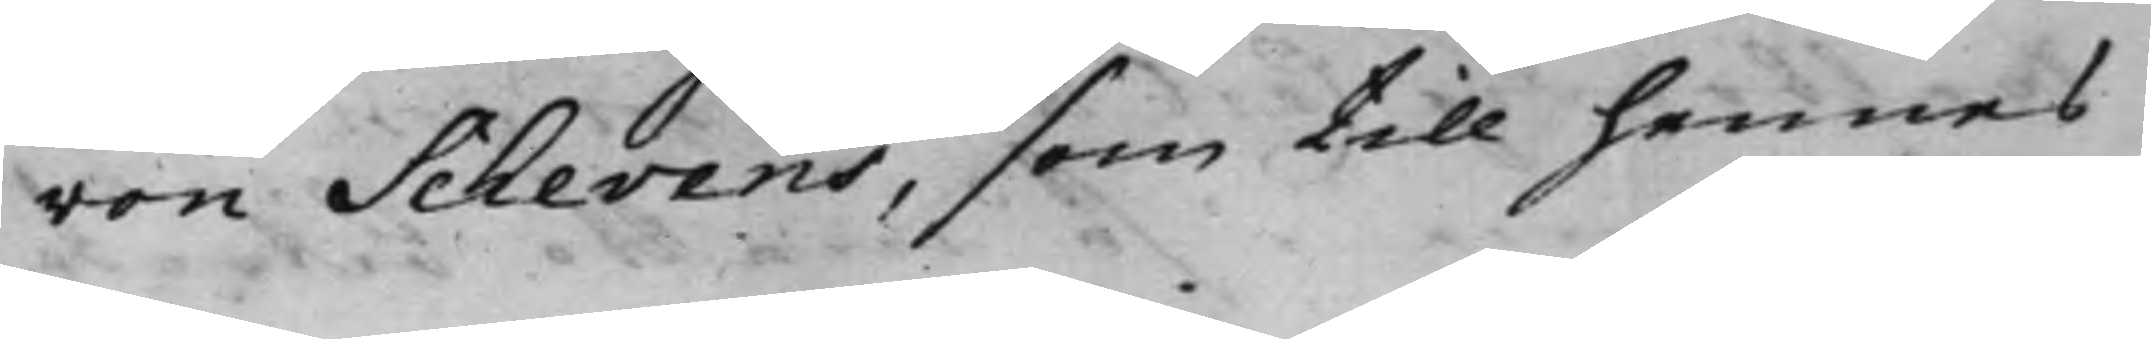von Schevens, som till hennes
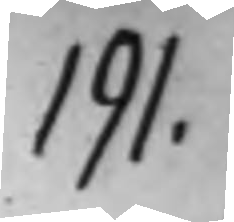191.
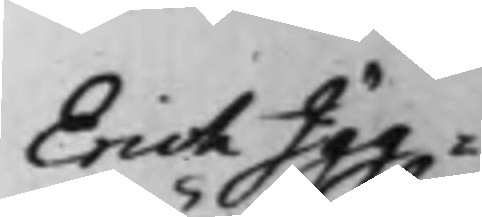Erich Igg¬
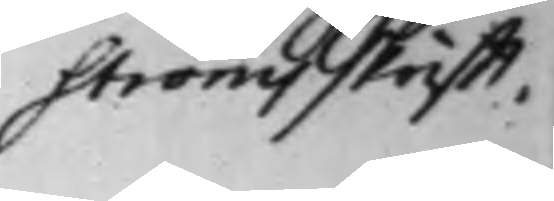ströms skrifft.
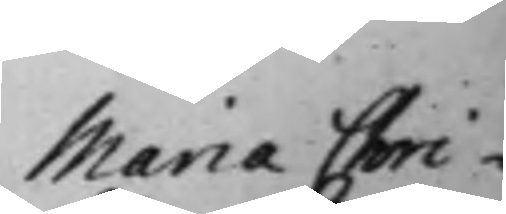Maria Chri¬
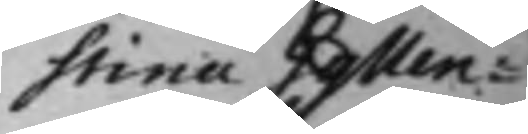stina Gyllen¬
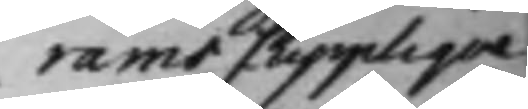rams Supplique
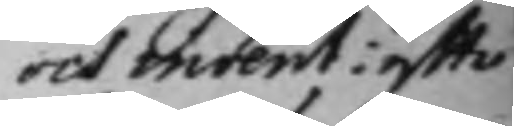och invent: effter
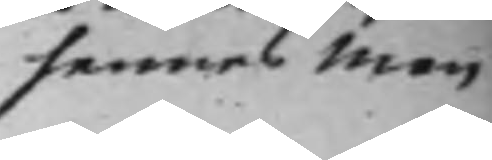hennes Man
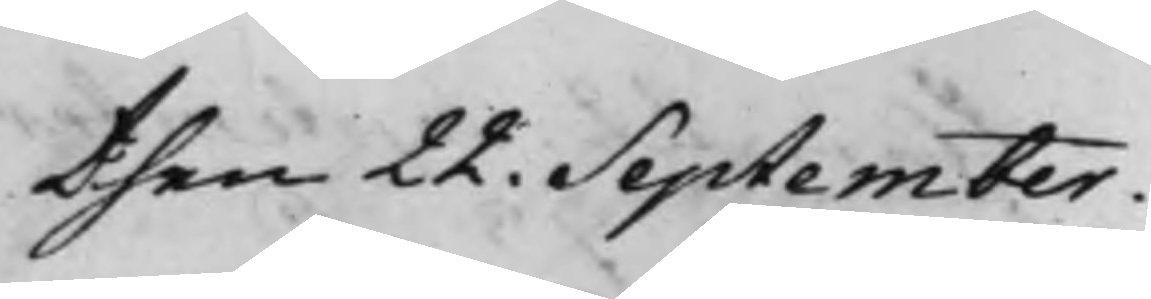then 22. September.
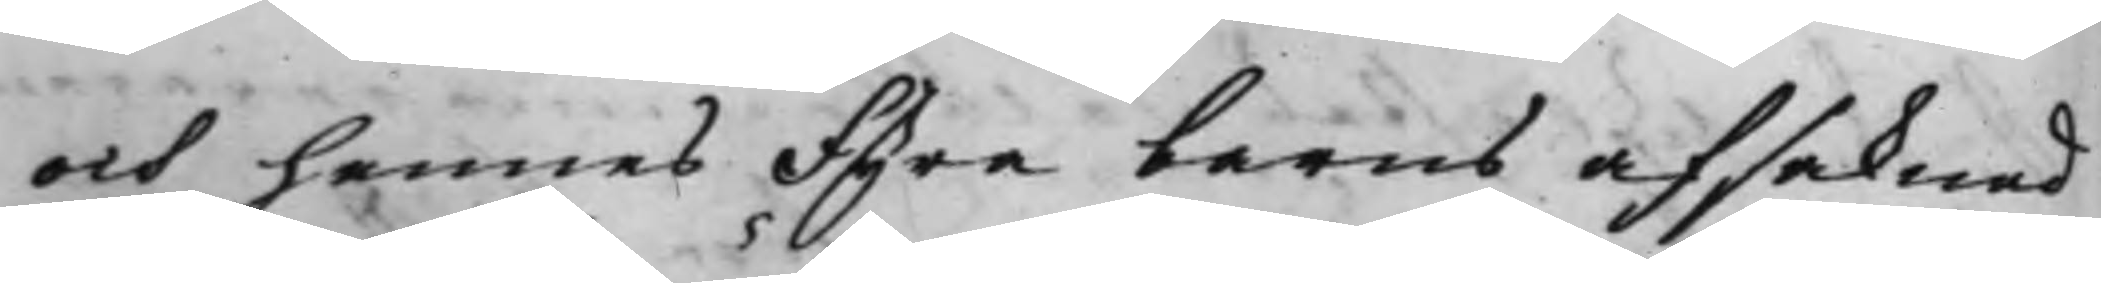och hennes fyra barns afsaknad
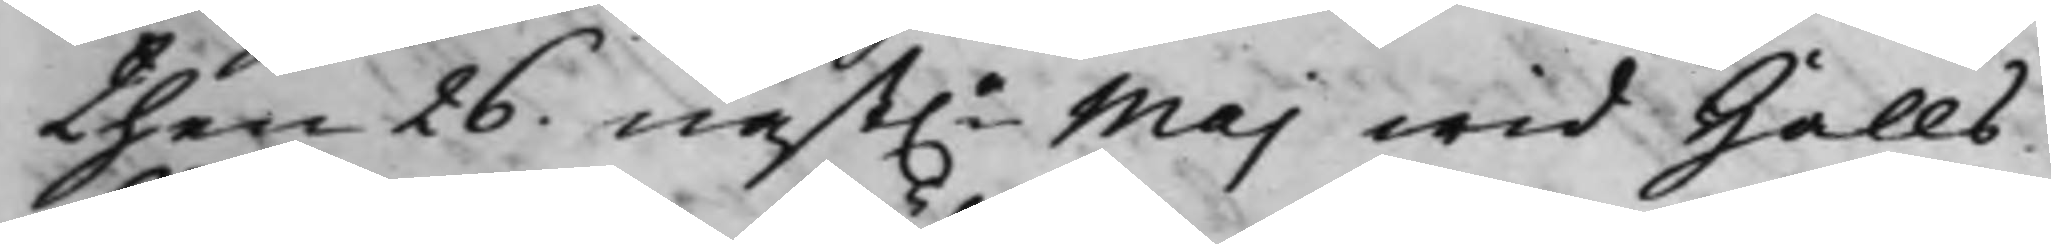then 26. näst.e Maj wid Halls
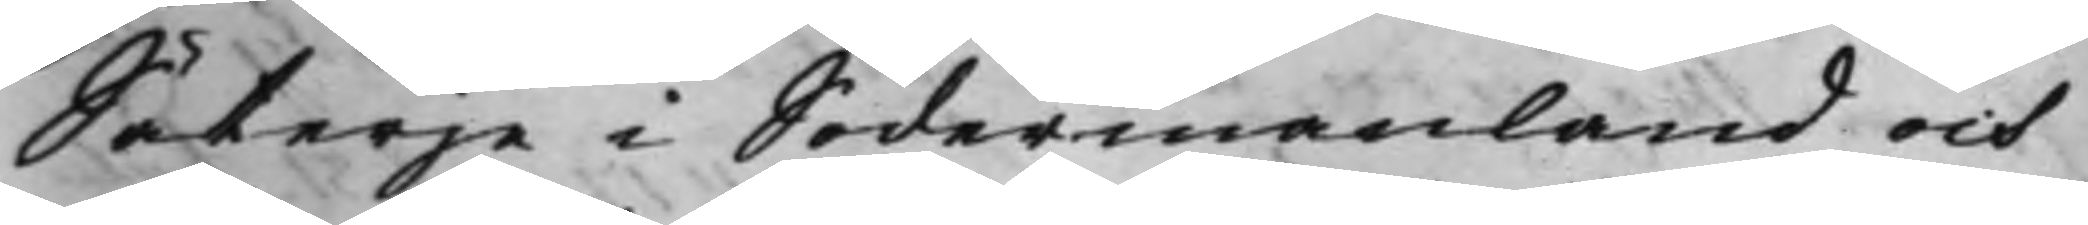Säterje i Södermanland och
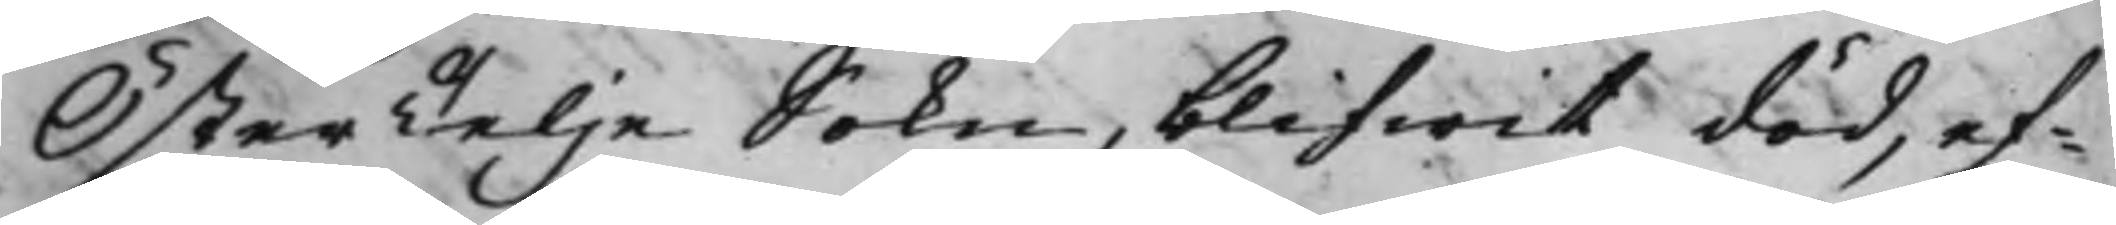ÖsterTelje Sokn, blifwit död, ef¬
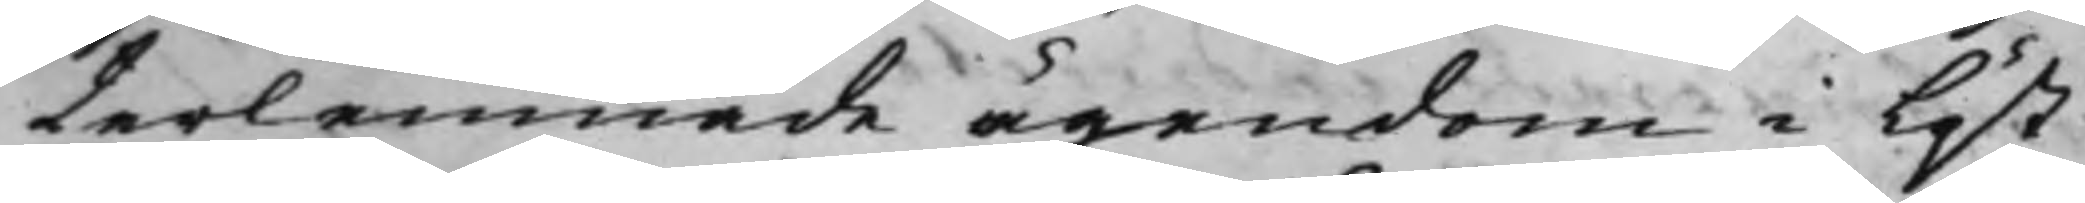terlemnade ägendom i löst
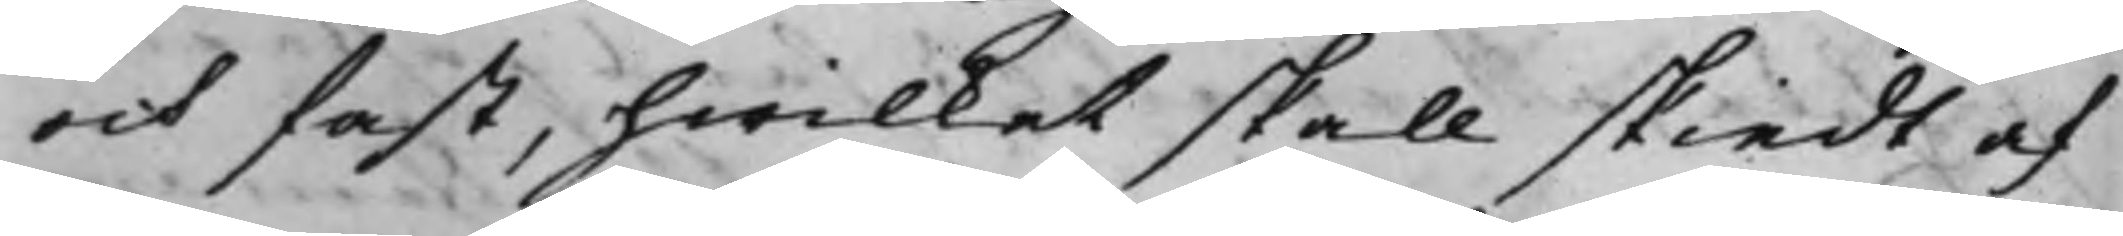och fast, hwilket skall skiedt af
